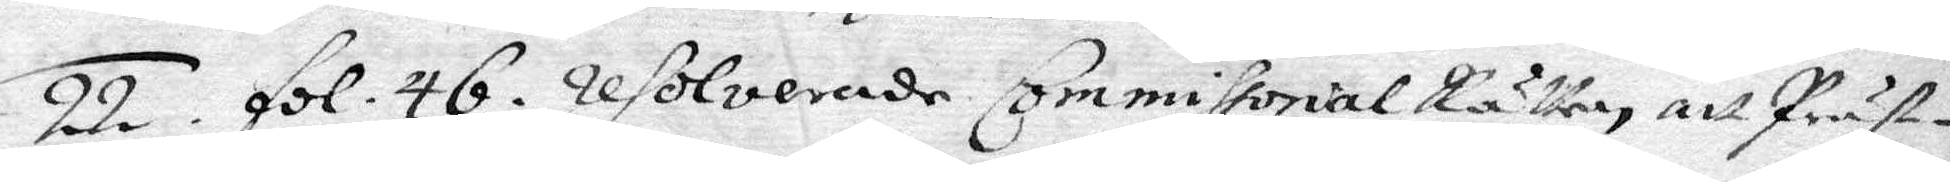22. fol. 46. resolveradeCommissorial Rätten att Präste¬
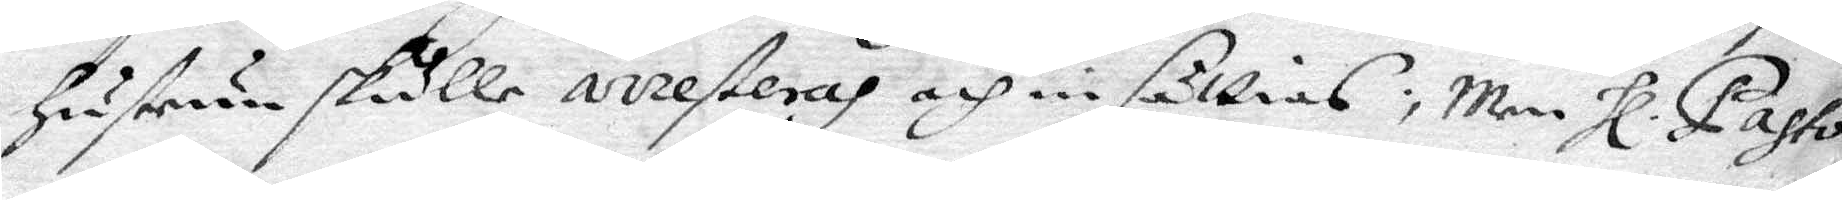hustrun skulle arresteras och insättias; men Hl Pasto¬
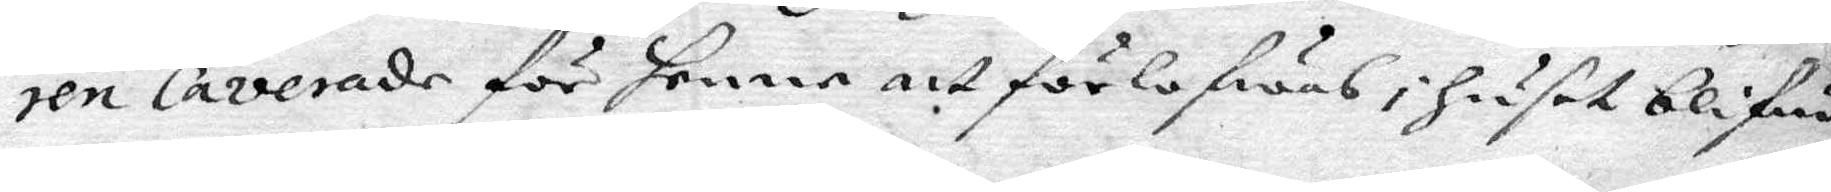ren Caverade för henne att förlofwas i huset blifwa
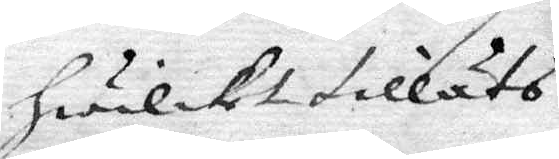hwilket tilläts.
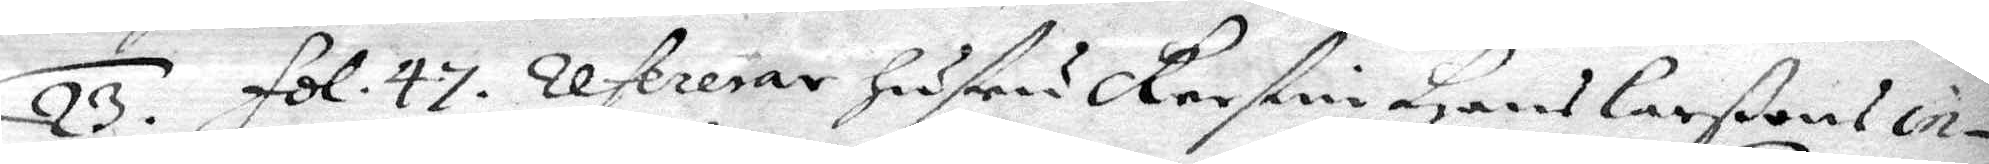23. fol. 47. refererar hustru Kerstin Hans Larßon in¬
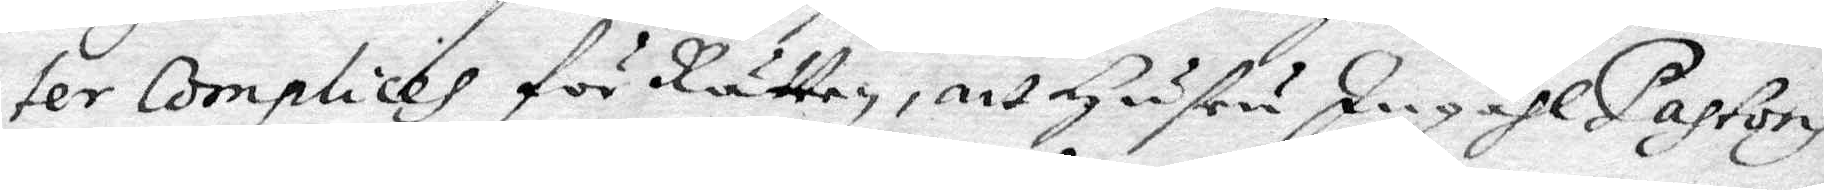ter Complices för Rätten, att hustru Ingähl Pastoris
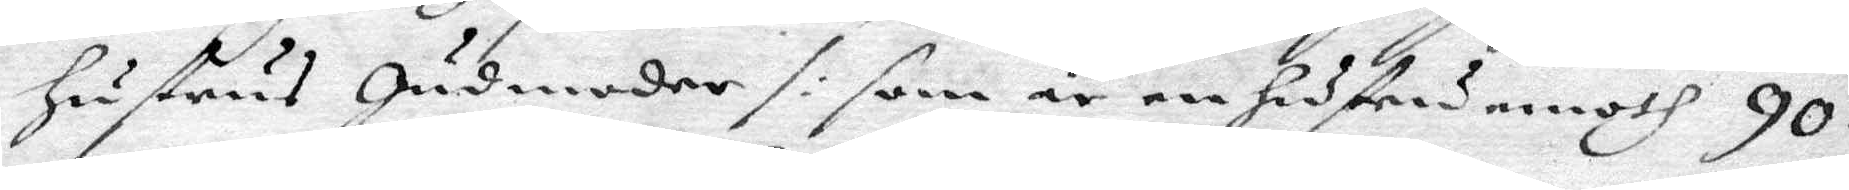hustrus gudmoder /: som är en hustru emoth 90
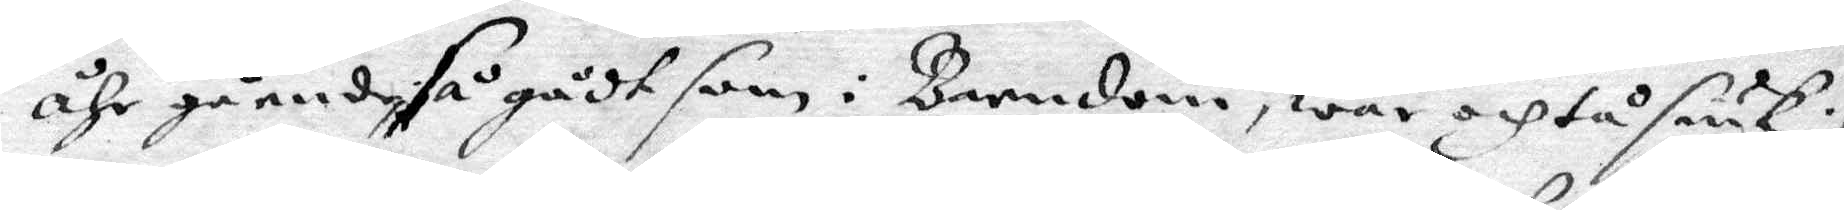åhr gående så godt som i Barndom, war och tå siuk :/,
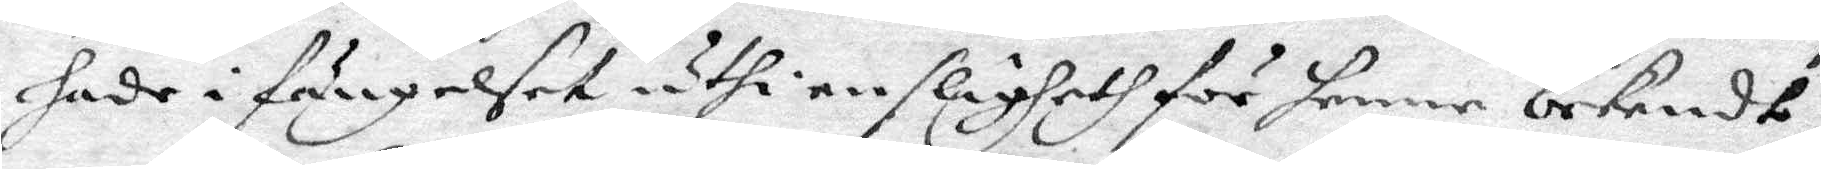sade i fängelset uthi en slägeth för henne bekendt,
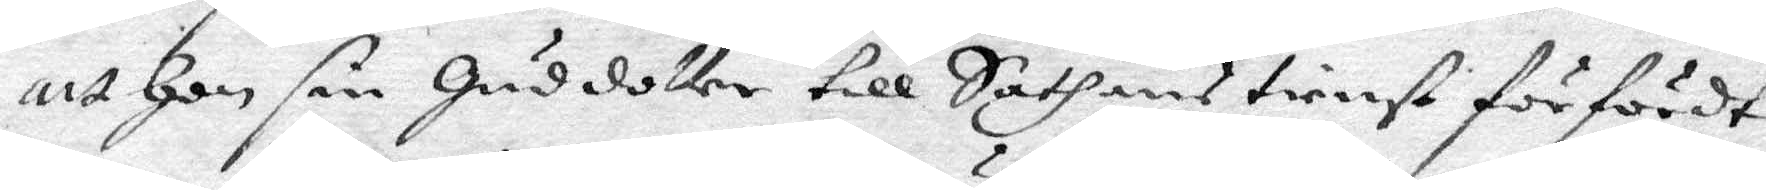att hon sin guddotter till Sathans tienst förfördt
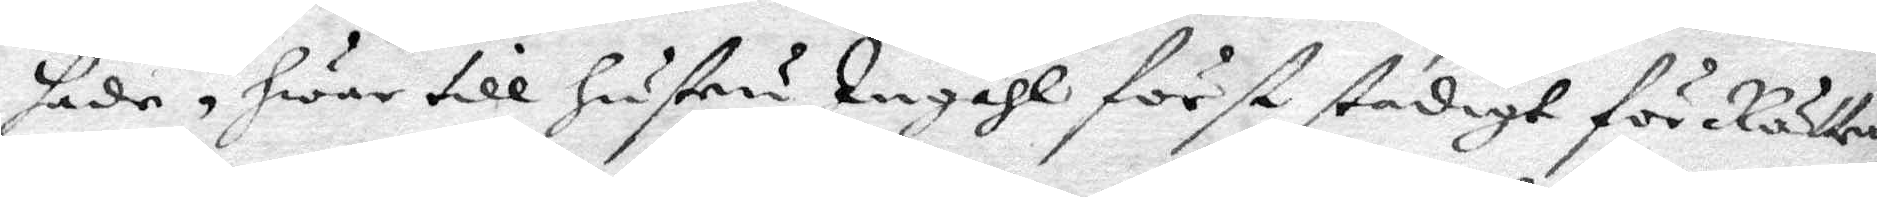sade, hwar till hustru Ingähl först stadigt för Rätten
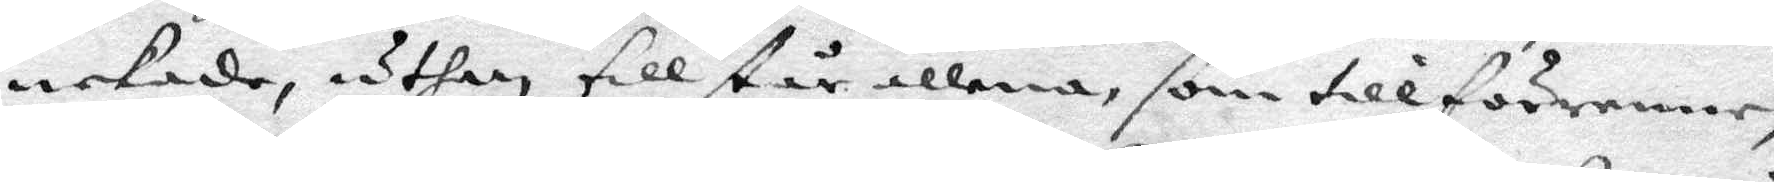nekade, uthan tillstår allena, som tillförener,
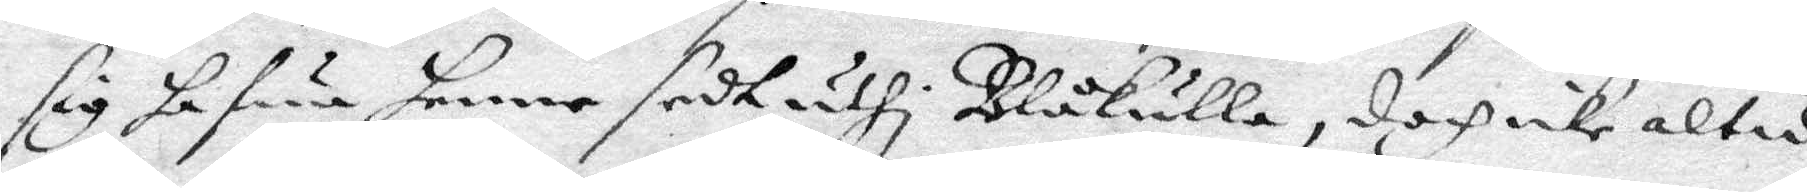sig hafwa henne sedt uthi Blåkulla, doch icke altid
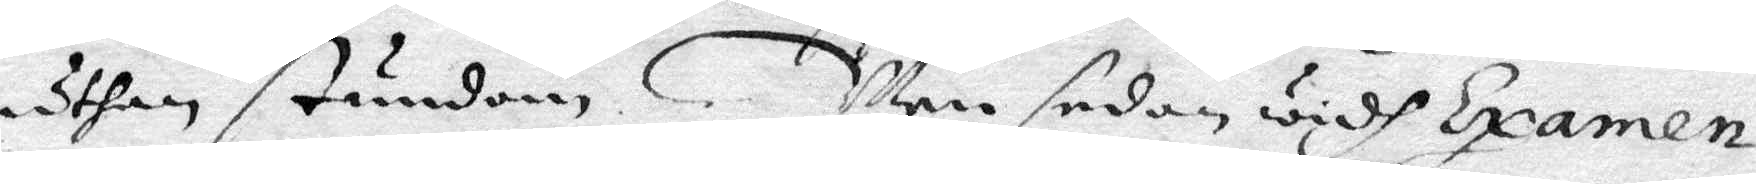uthan stundom. Men sedan widh Examen
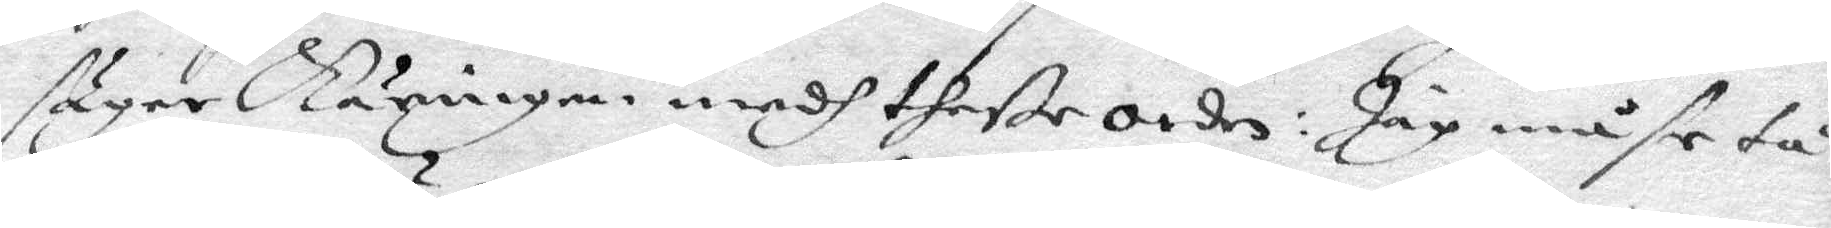säger Säningen medh theße orden: Jag måste tå
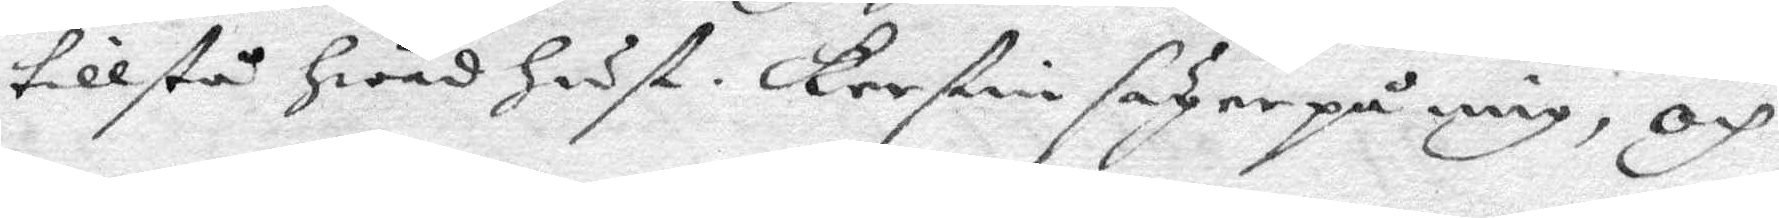tollstå hwad hust. Kerstin säger på mig, och
